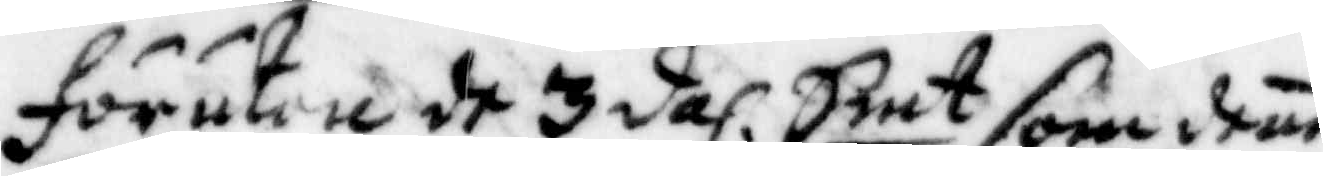förutan de 3 dal: Smt som dene
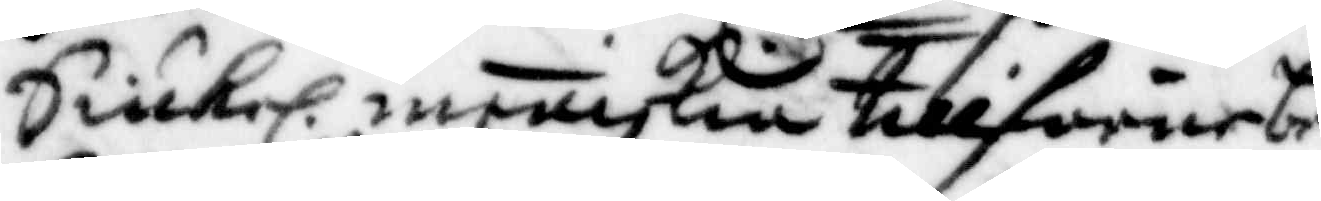Siukel. meniskia tillförne be¬
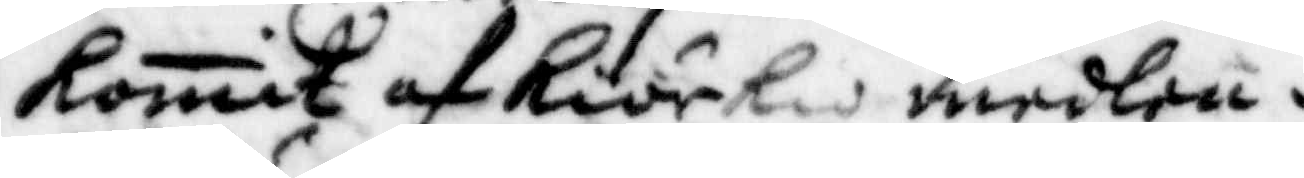komit af Kiörkan medlen i
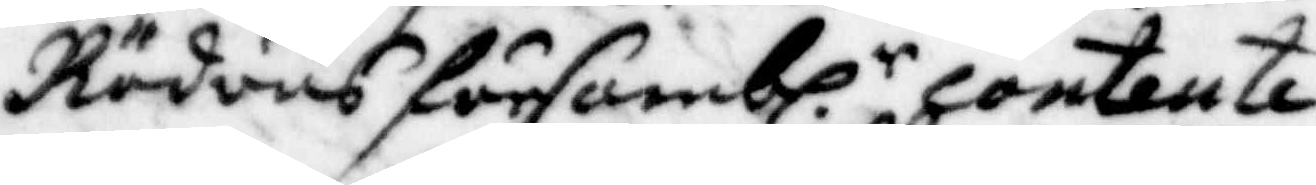Röduns försambl.r contente¬
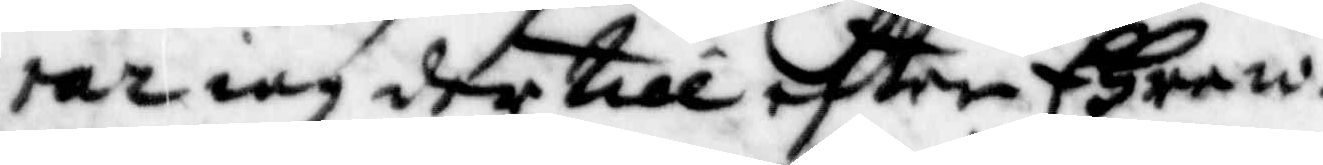rar iag der till efter Ehre w:
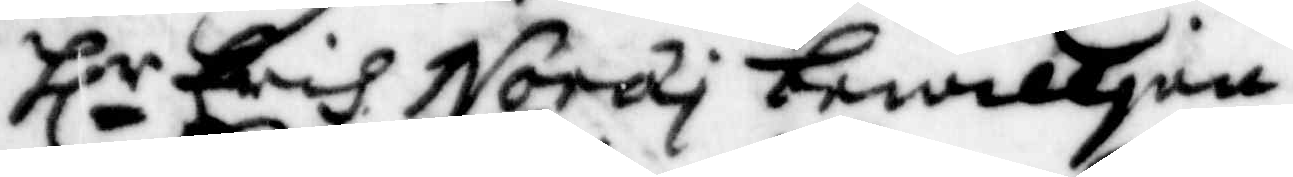Hlr Erich Norai bewilljen
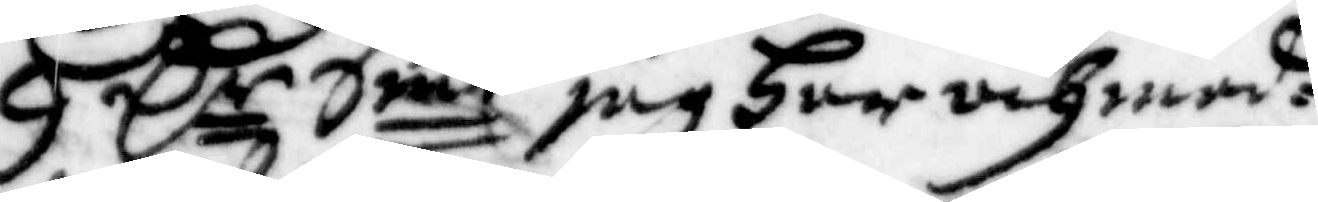9 Cr Smt jag Har och med¬
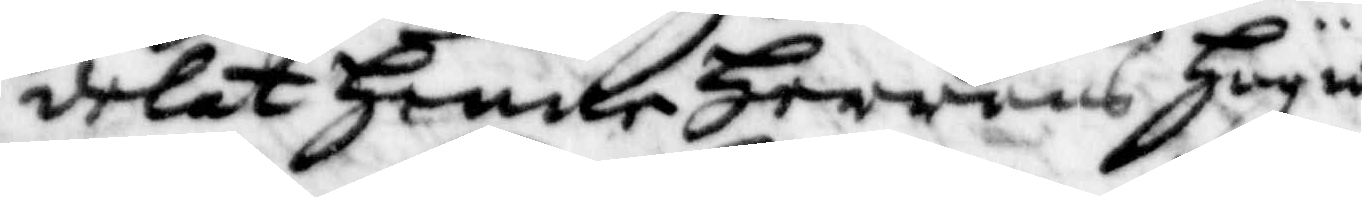delat Henne Herrand Höga
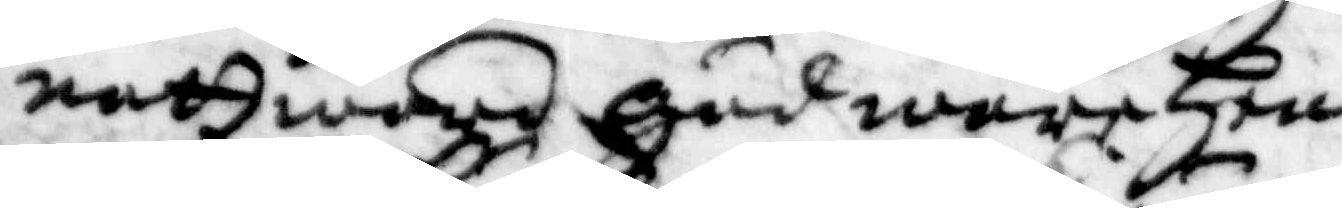nattward gud ware Hen¬
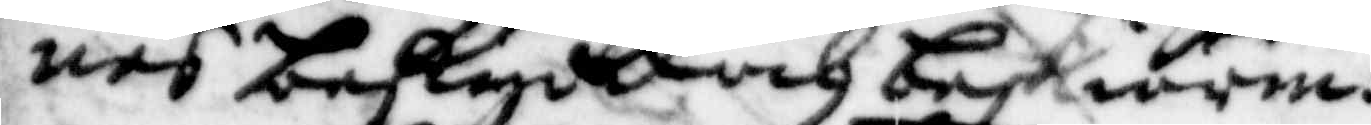nes beskydd och beskiärm.
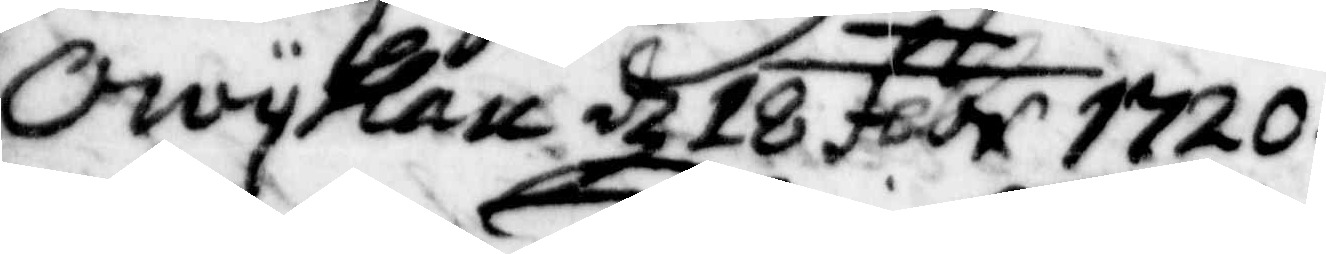Owyken d 18 febr 1720.
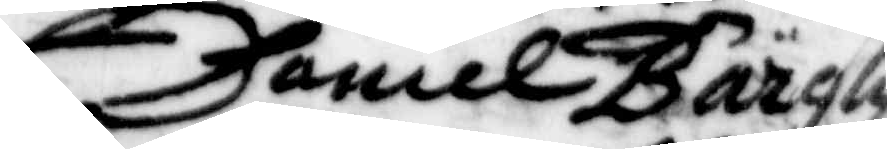Daniel Bärghz
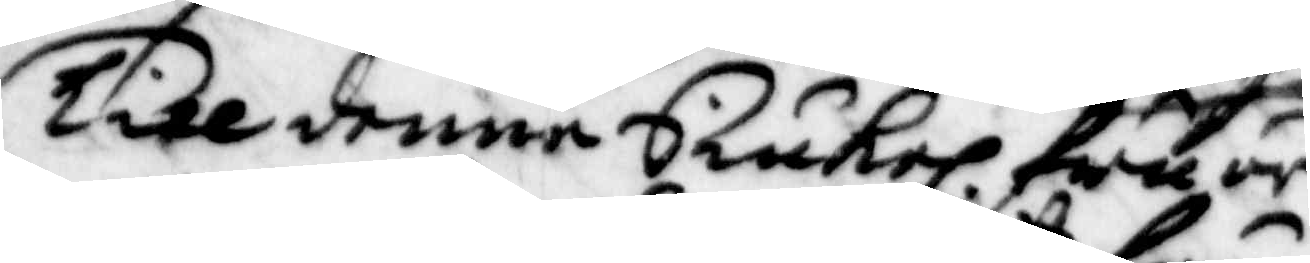Till denne Siukel. fru är
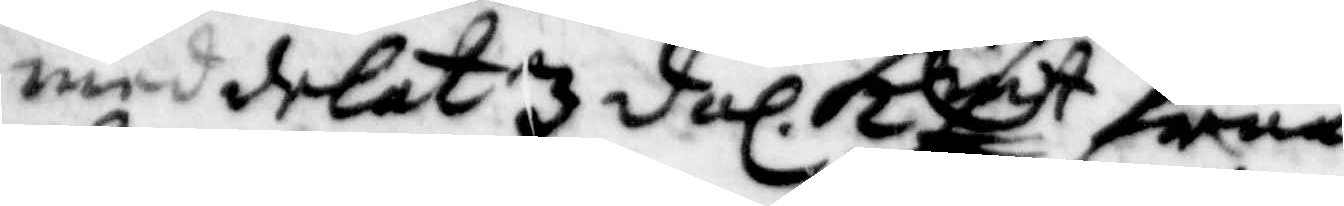meddelat 3 dal. Kmt från
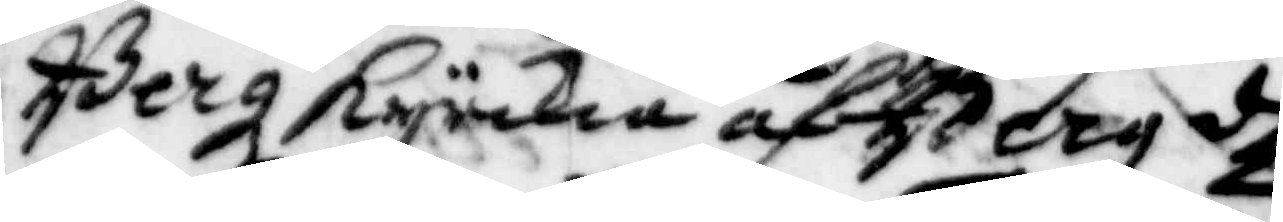Berg Kyrkia af Berg d
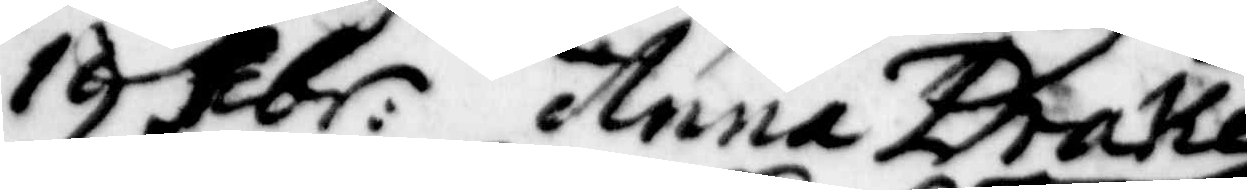19 Febr: Anna Drake
